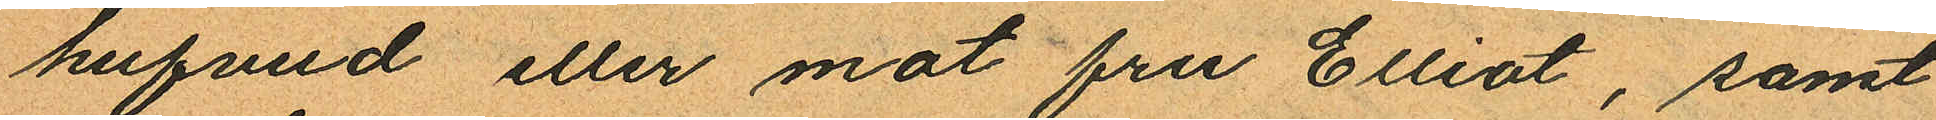hufvud eller mot fru Elliot, samt
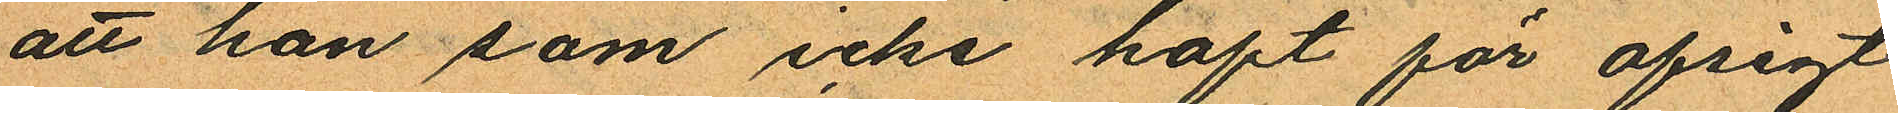att han som icke haft för afsigt
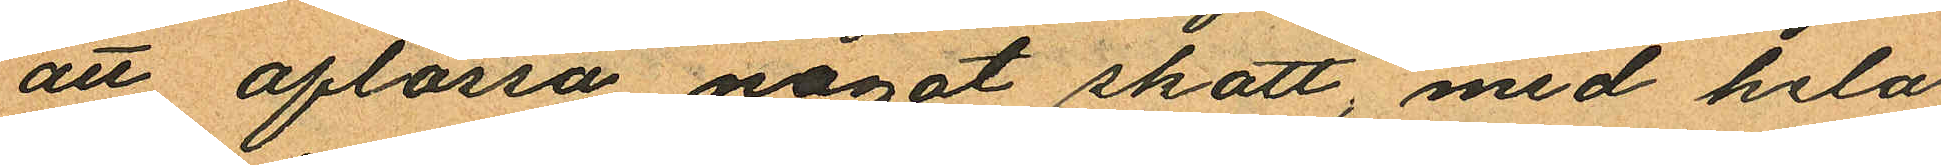att aflossa något skott, med hela
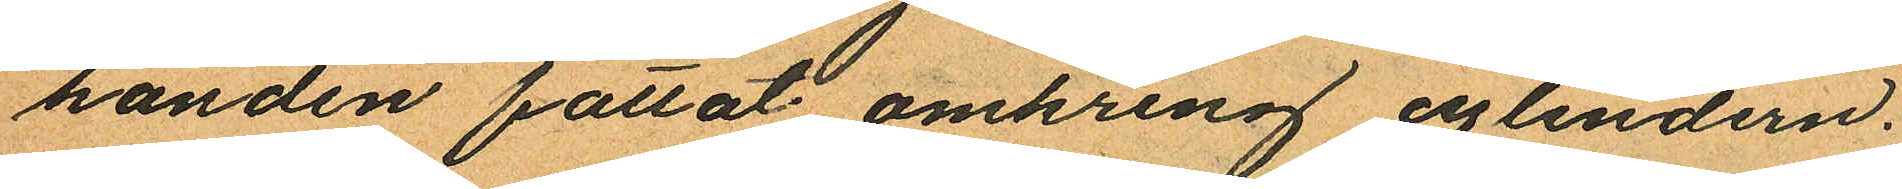handen fattat omkring cylindern.
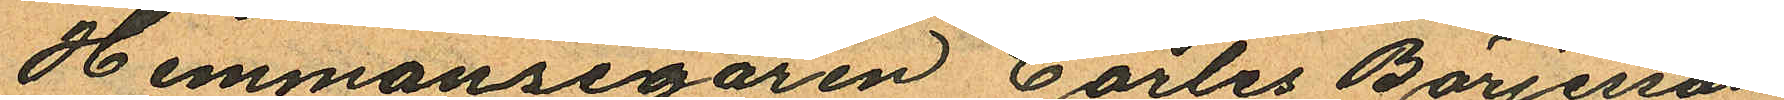Hemmansegaren Carles Börjesson
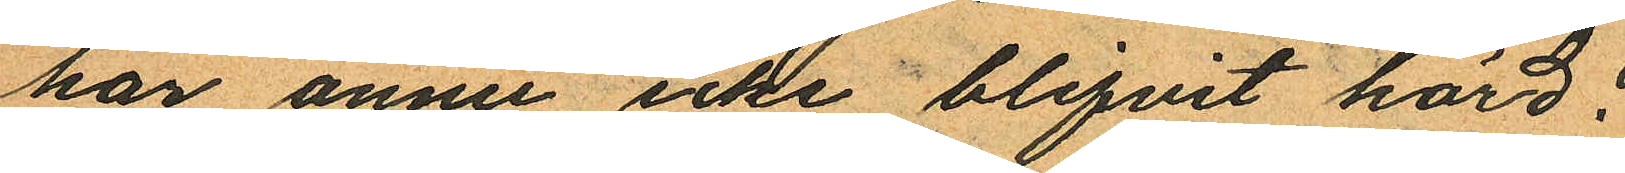har ännu icke blifvit hörd.
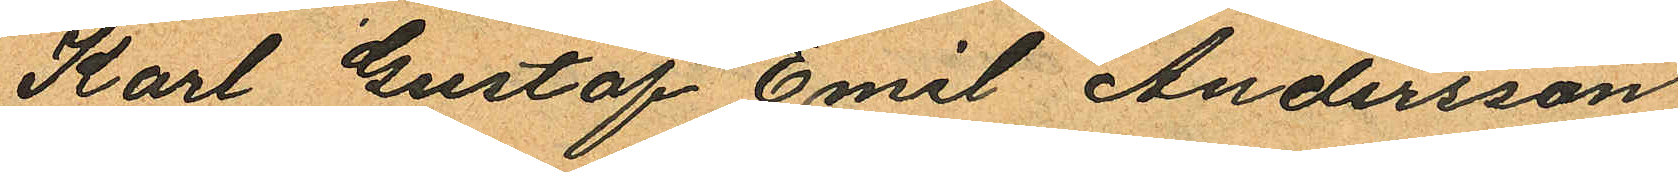Karl Gustaf Emil Andersson
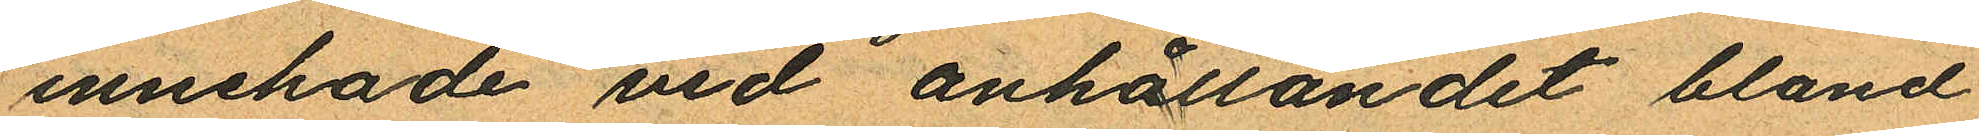innehade vid anhållandet bland
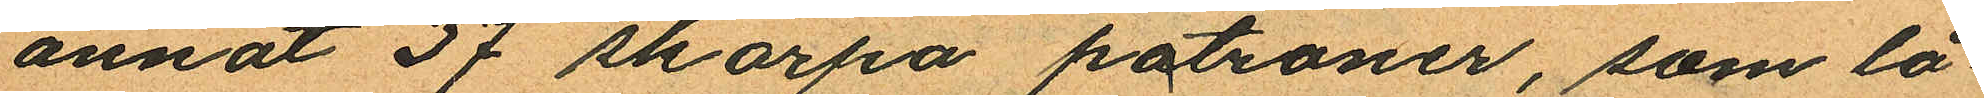annat 37 skarpa patroner, som lå¬
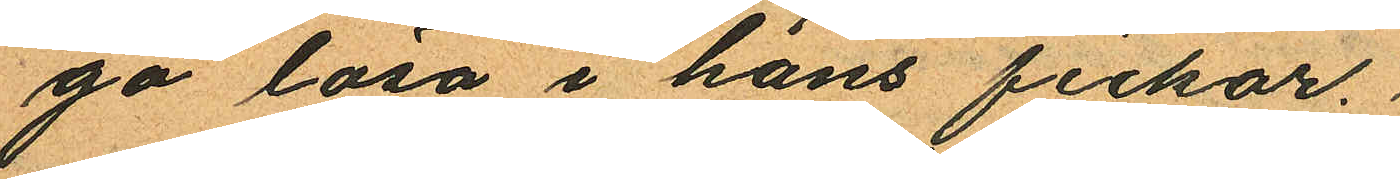go lösa i hans fickor.
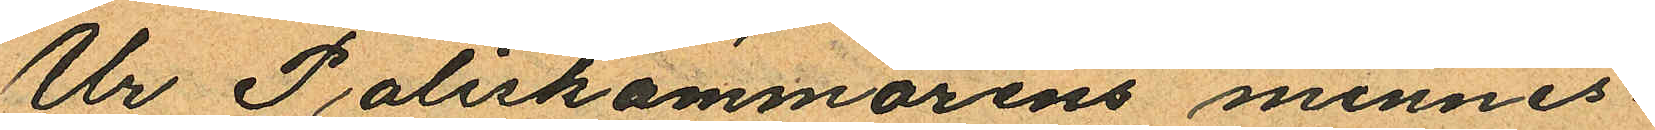Ur Poliskammarens minnes¬
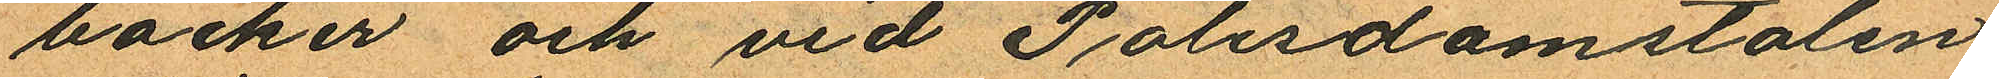böcker och vid Polisdomstolen
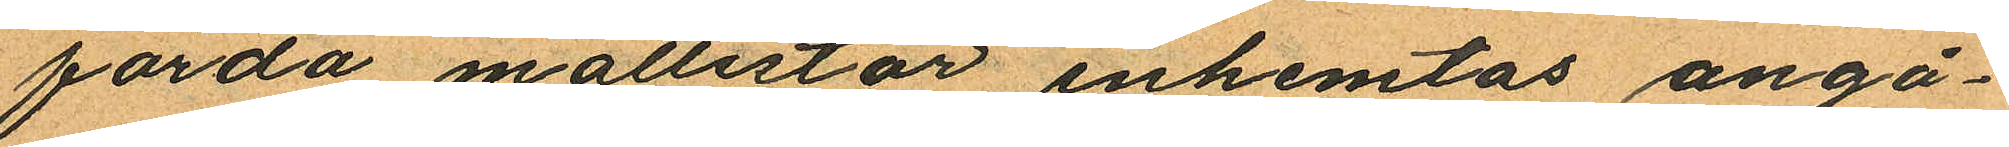förda mållistor inhemtas ångå¬
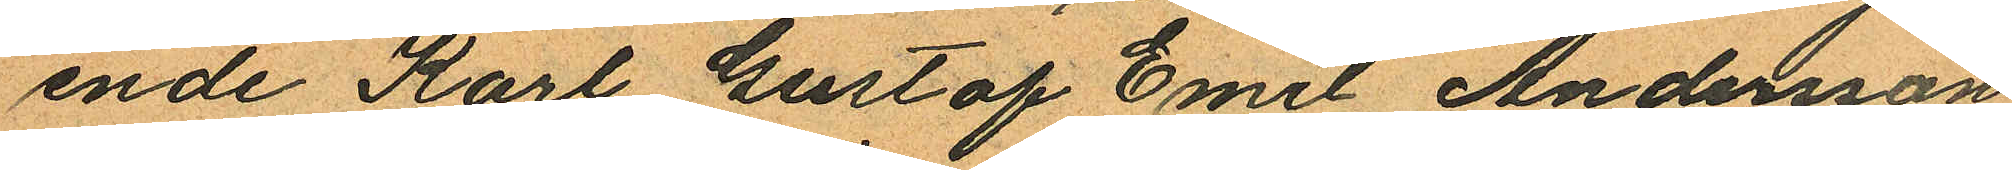ende Karl Gustaf Emil Andersson
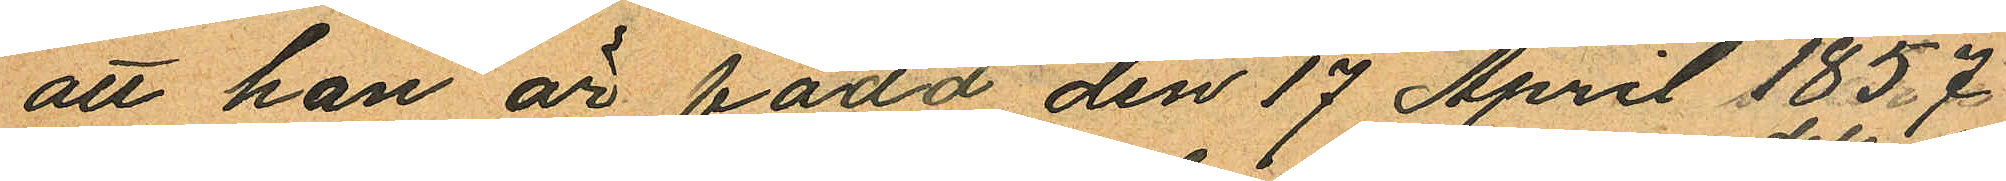att han är född den 17 April 1857
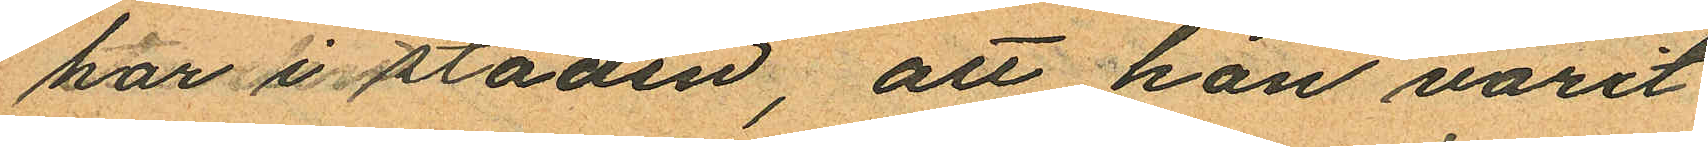här i staden, att han varit
